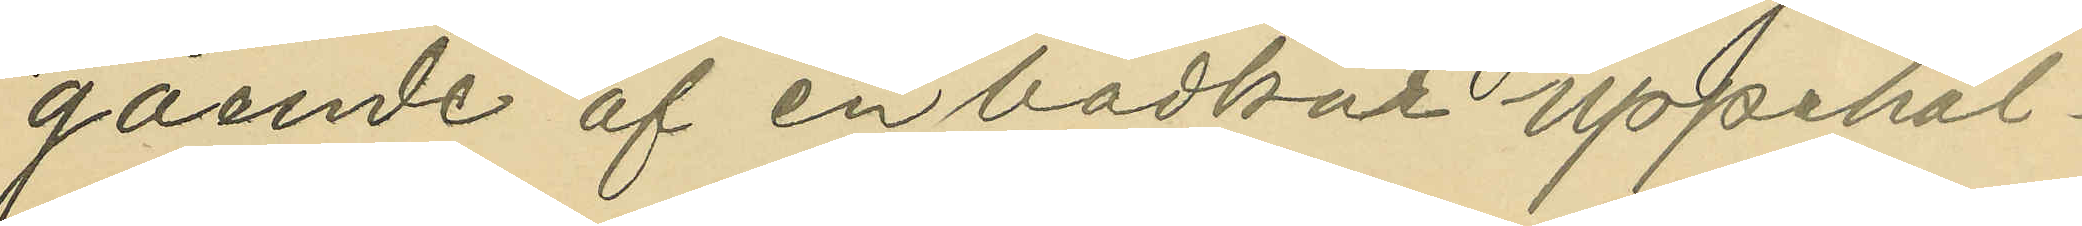gående af en badkur uppehål¬
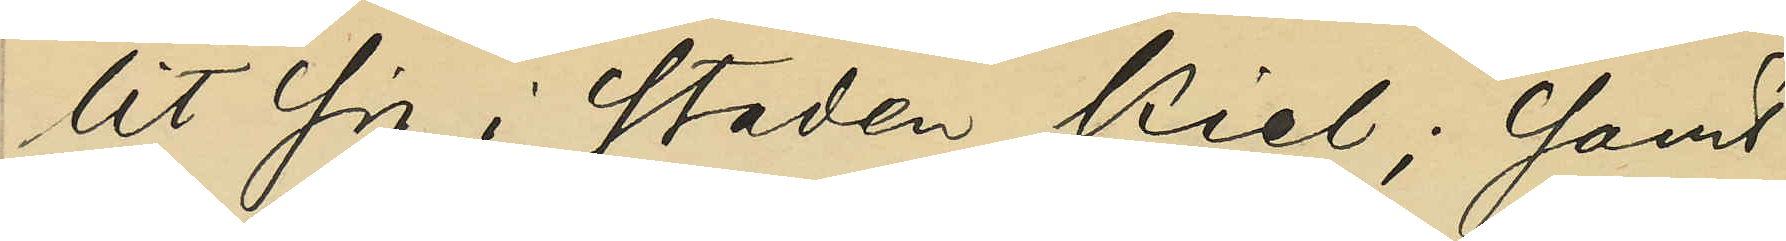lit sig i staden Kiel; samt
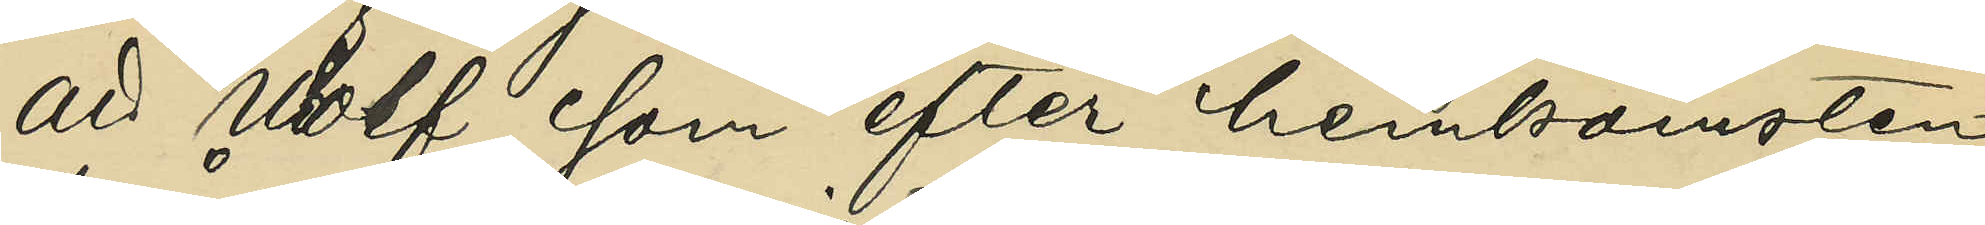att Wolf, som efter hemkomsten
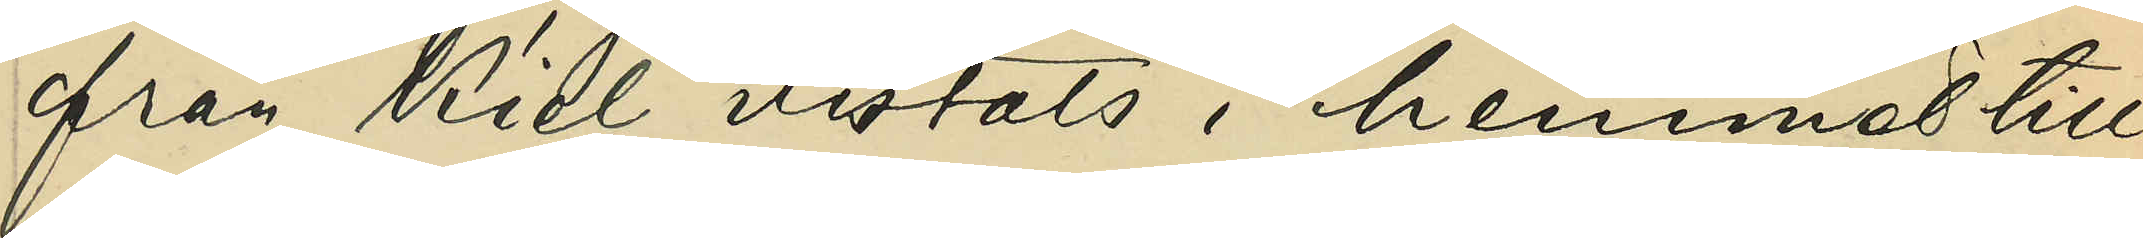från Kiel vistats i hemmet till
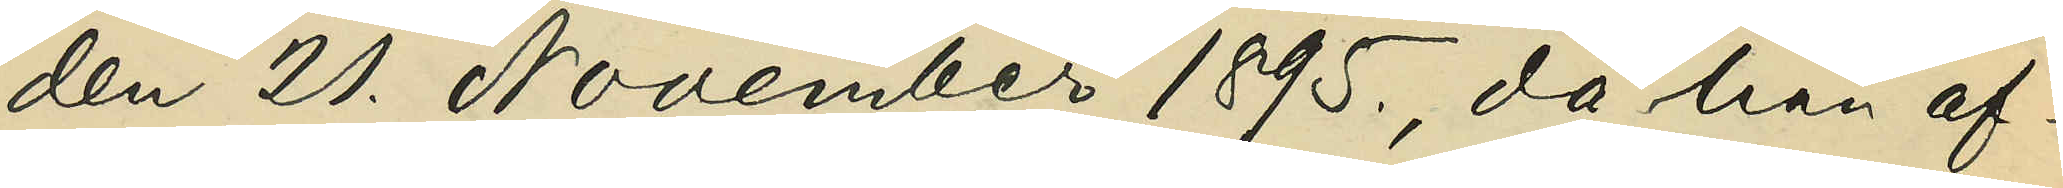den 20 November 1895, då han af¬
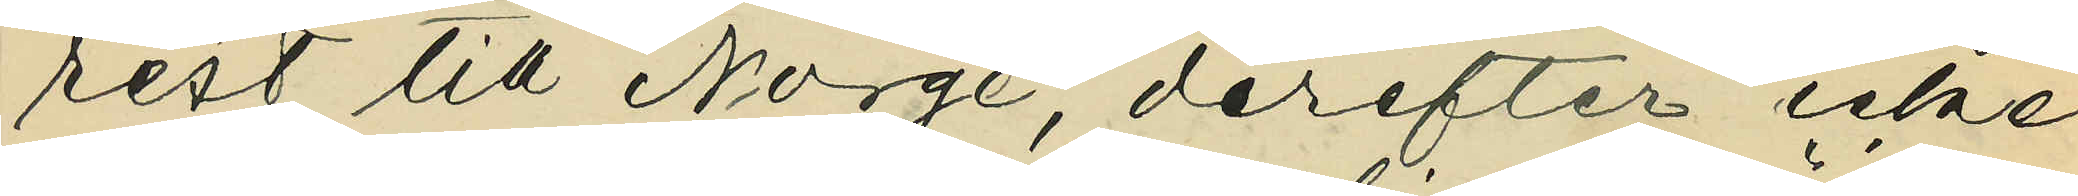rest till Norge, derefter icke
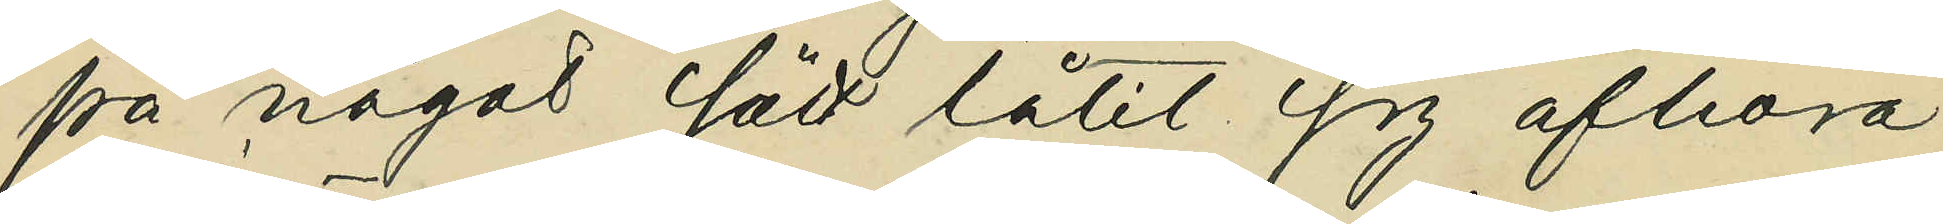på något sätt låtit sig afhöra.
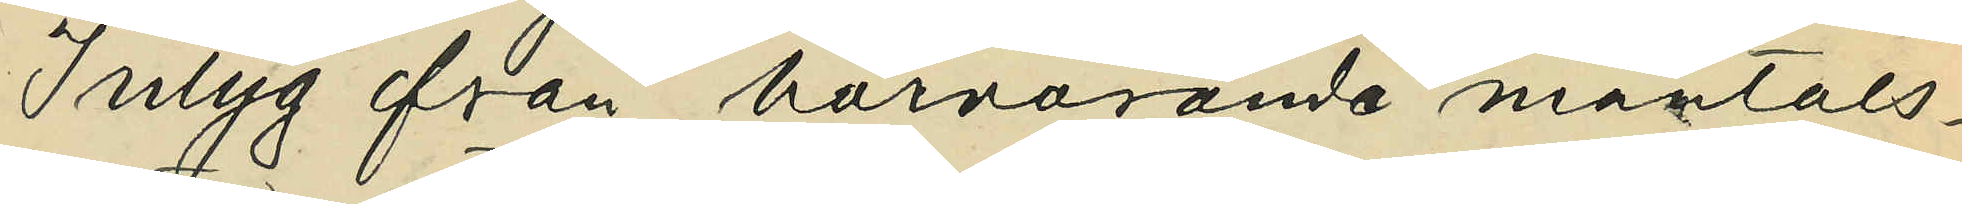Intyg från härvarande mantals¬
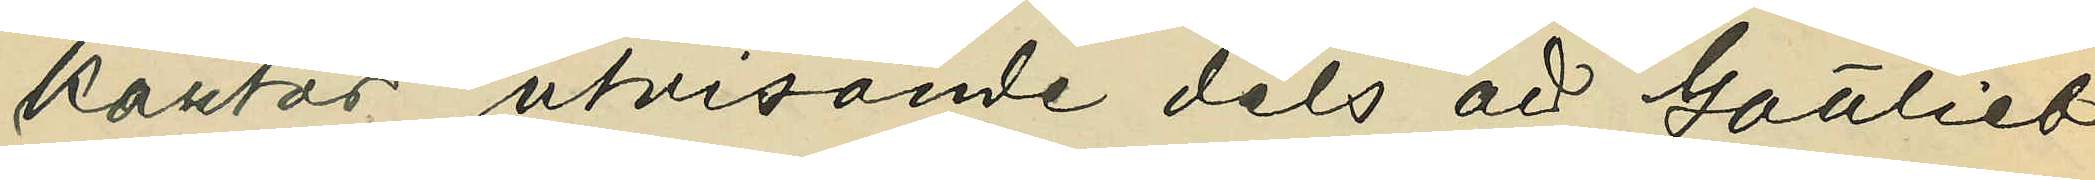kontor utvisande dels att Gottlieb
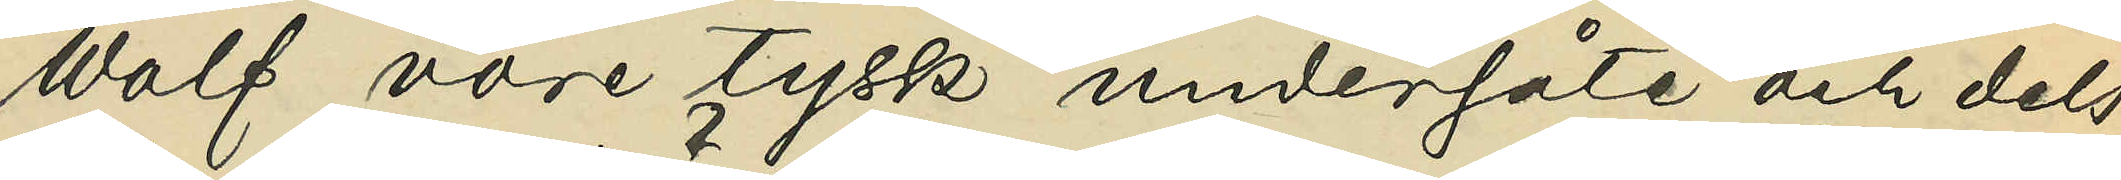Wolf vore tysk undersåte och dels
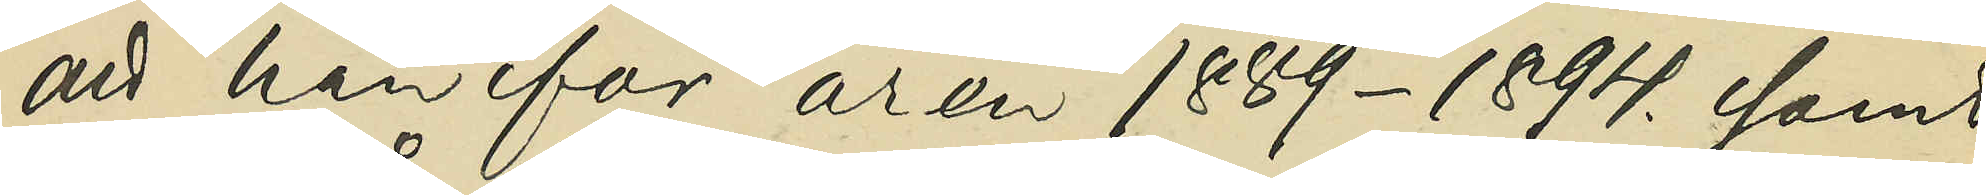att han för åren 1889-1894. samt 
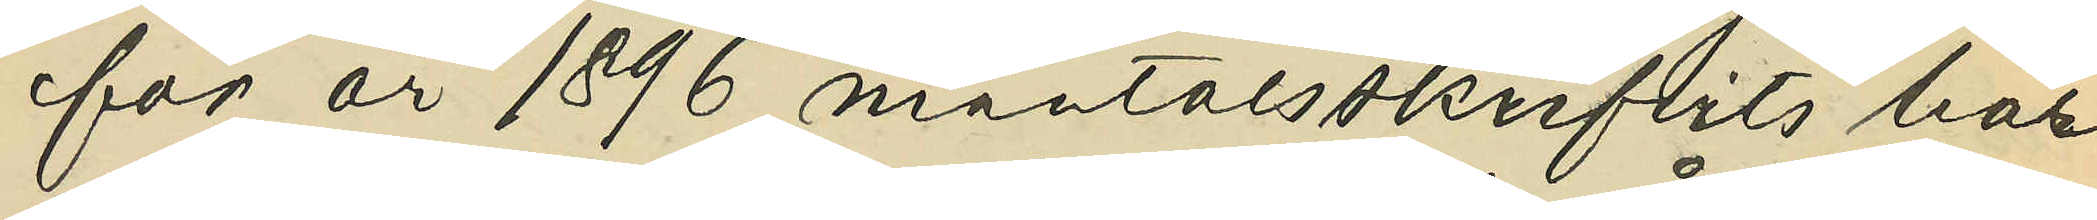för år 1896 mantalsskrifvits här
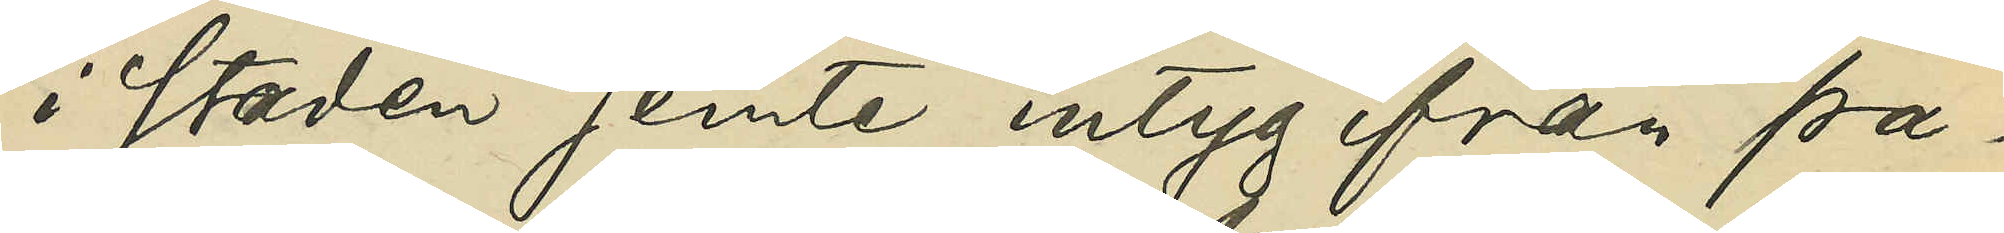i staden jemte intyg från pa¬
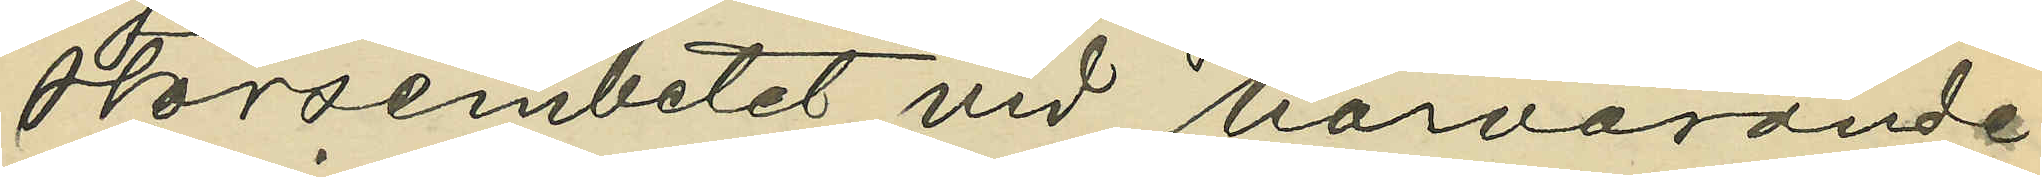storsembetet vid härvarande
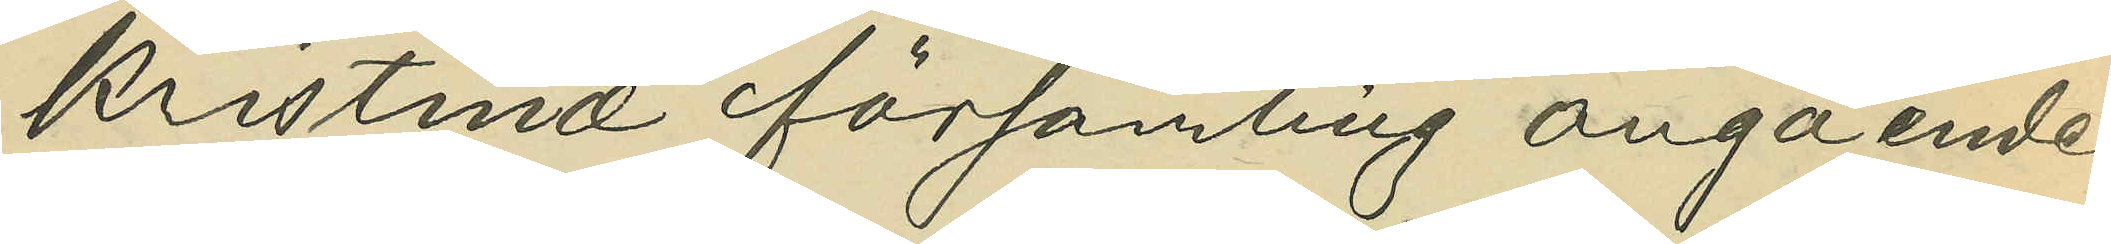Kristinæ församling angående
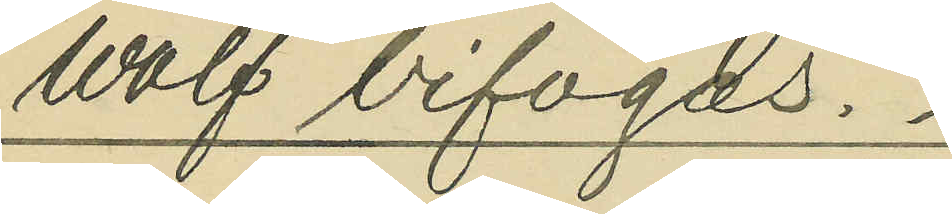Wolf bifogas.
